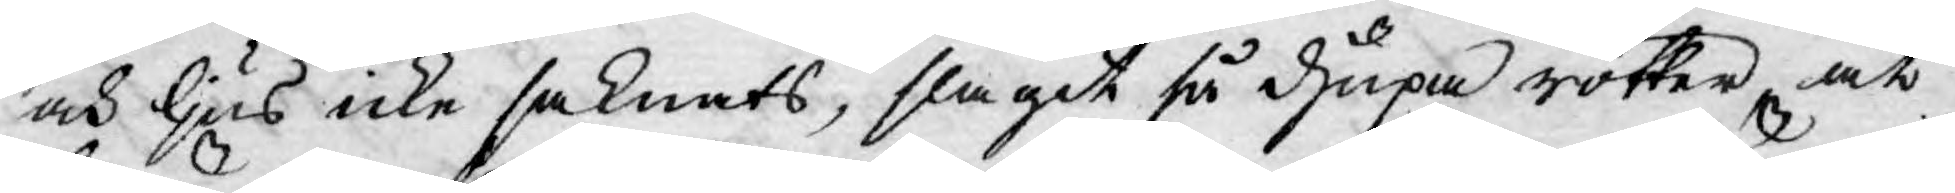och ljus icke saknats, slagit så djupa rötter, at
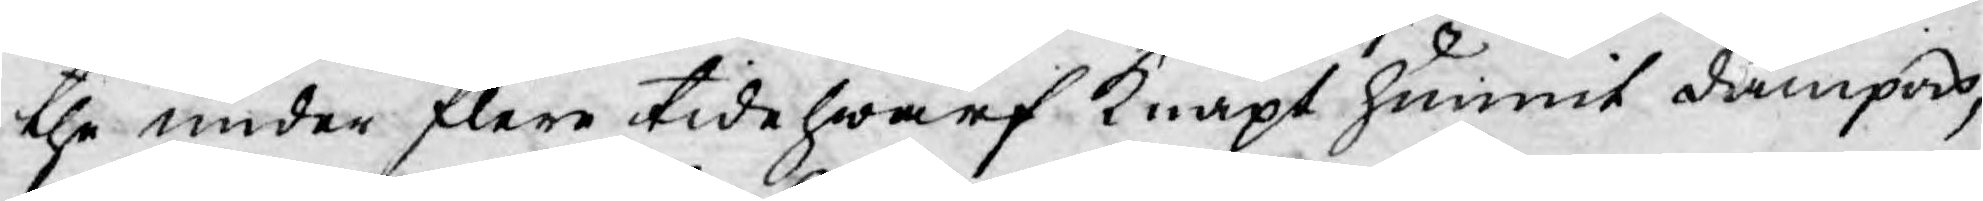the under flere tide hwarf knapt hunnit dämpas,
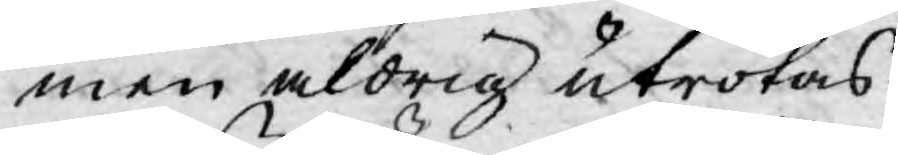men aldrig utrotas.
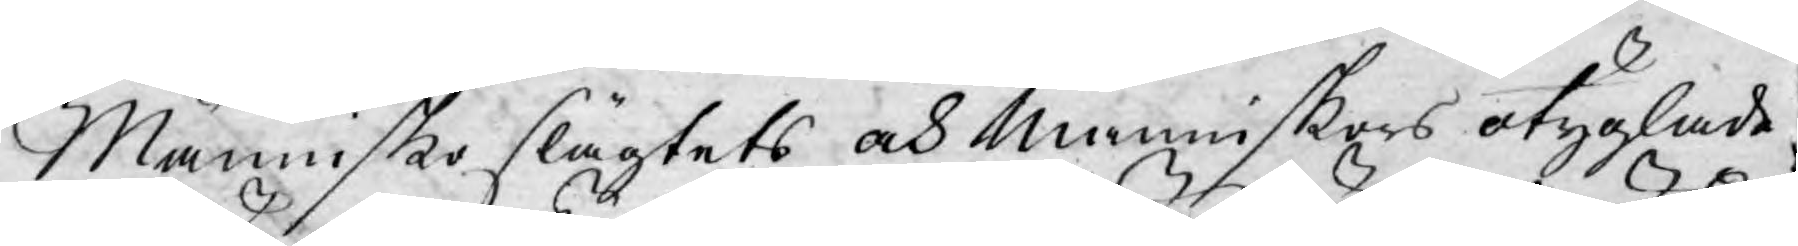Människoslägtets och Människors otyglade
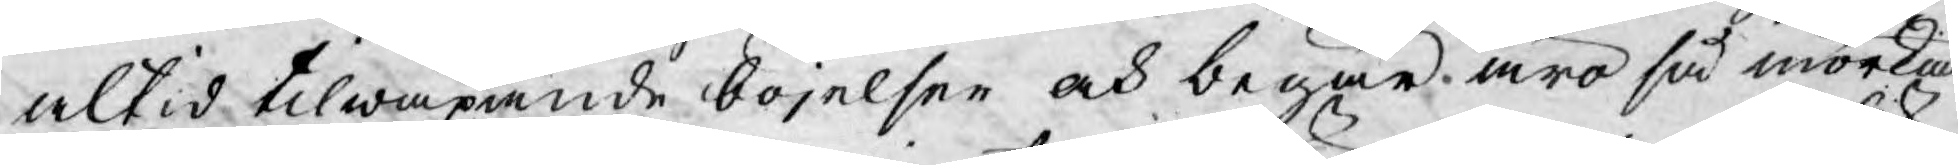altid tilwäxande böjelser och begär äro så mörka
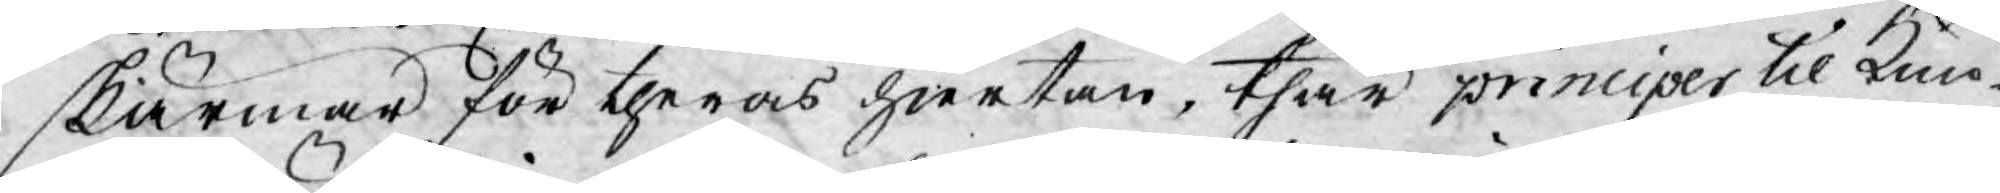skärmar för theras hiertan, thär principer til Kun¬
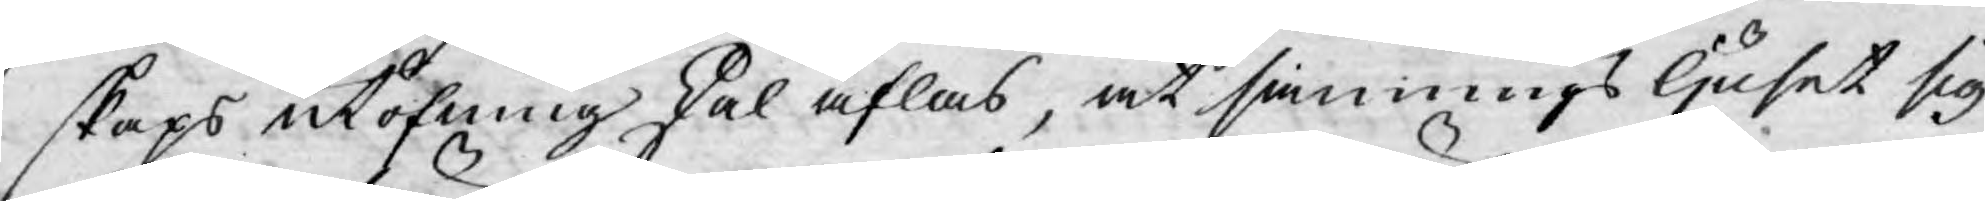skaps utöfning skal aflas, at sannings ljuset sig
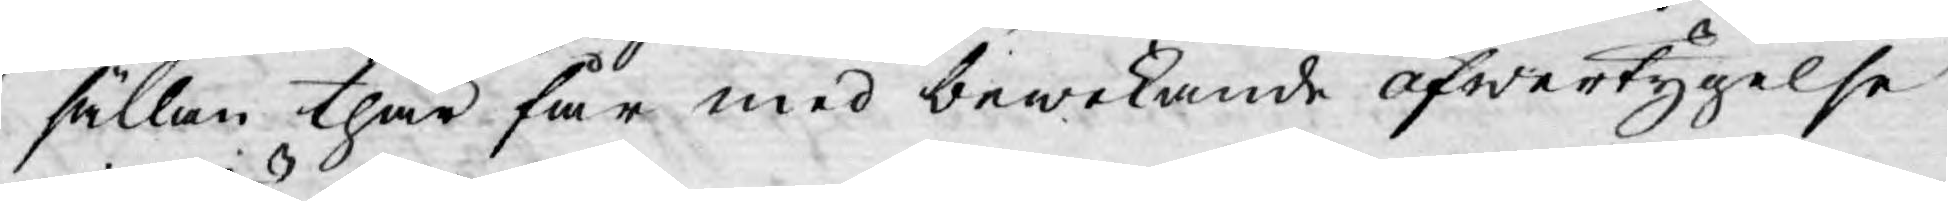sällan thär får med bewekande öfwertygelse
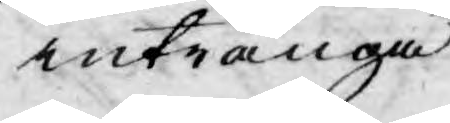intränga.
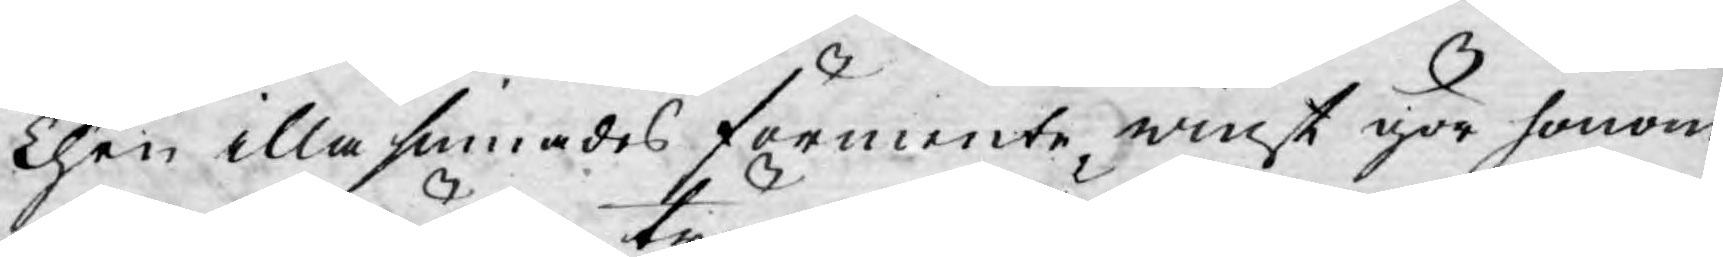Then illasinnades förmente winst gör honom
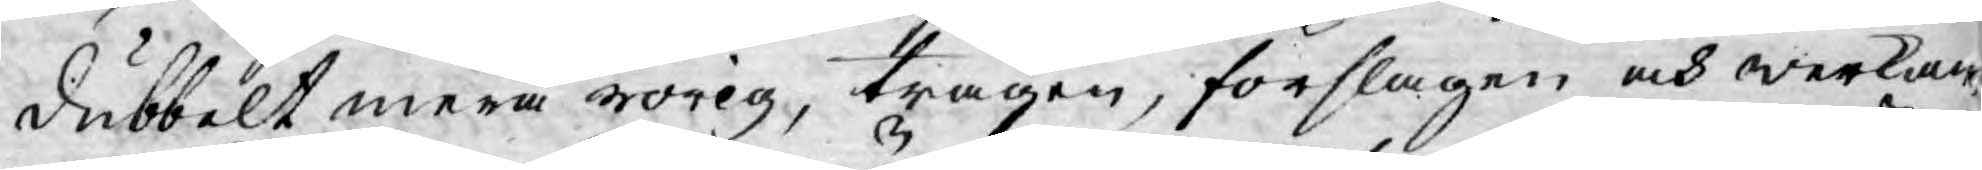dubbelt mera rörig, trägen, förslagen och werkan¬
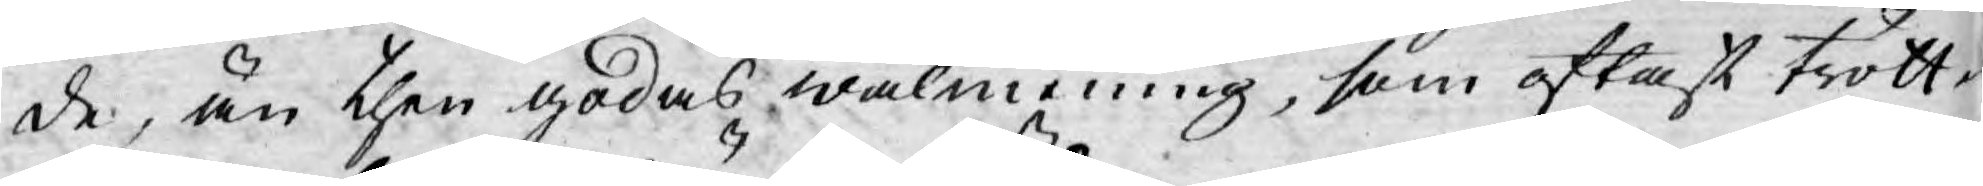de, än then godas wälmening, som oftast trött¬
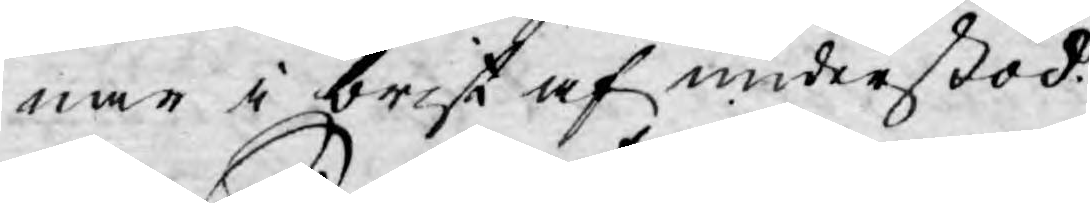nar i brist af understöd.
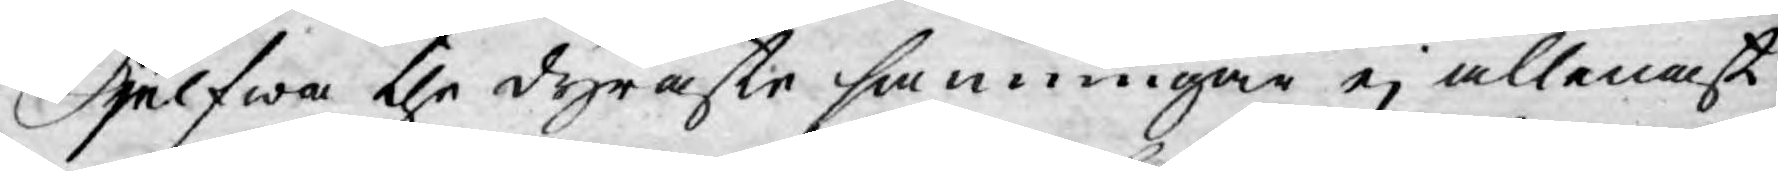Sjelfwa the dyraste sanningar ej allenast
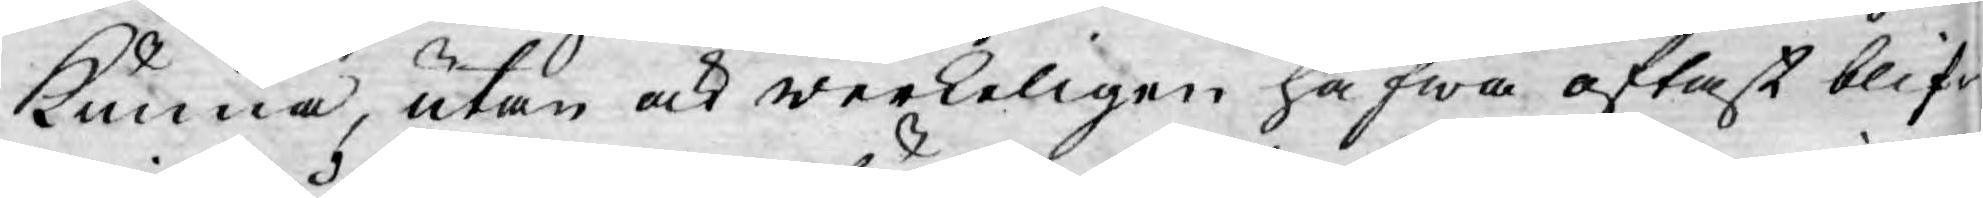kunna, utan ock werkeligen hafwa oftast blif-
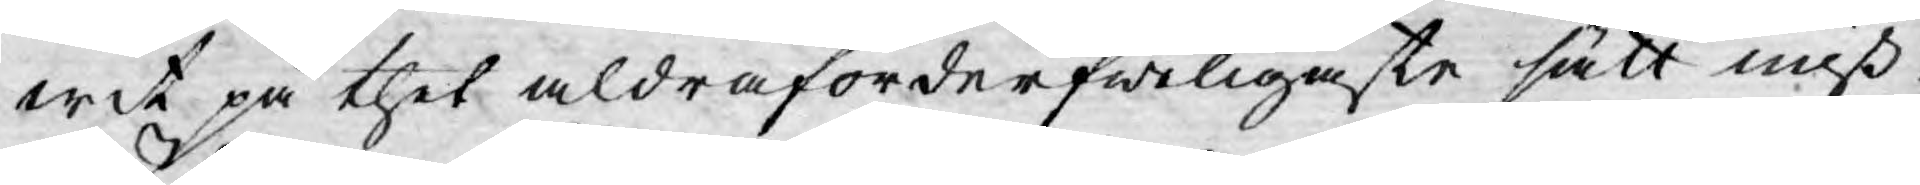wit på thet aldra förderfweligaste sätt miß¬
